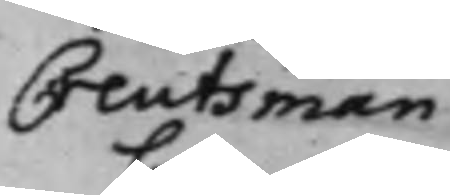Creutsman
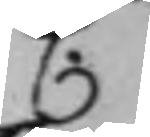C.
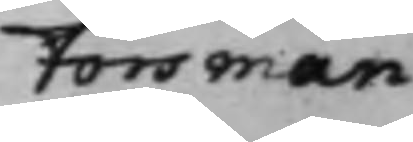Forsman
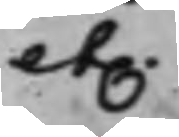etc.
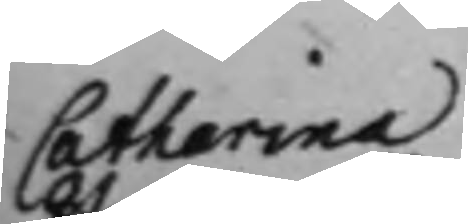Catharina
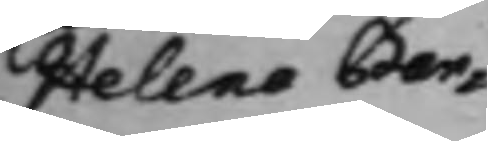Helena Ban¬
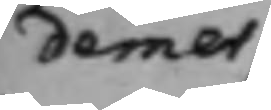demer
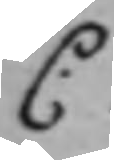C.
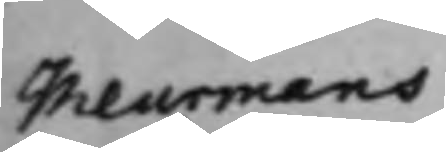Meurmans
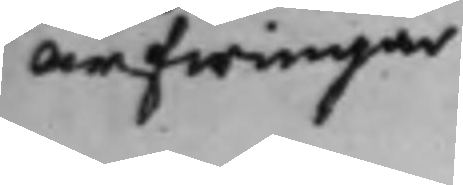Arfwingar
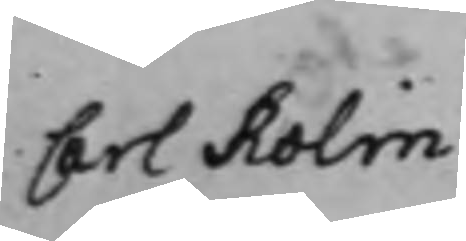Carl Rolin
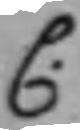C.
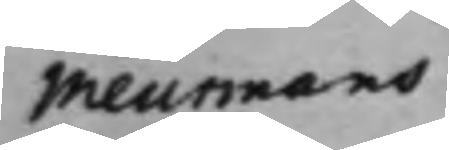Meurmans
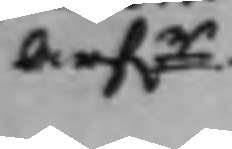Arfr.
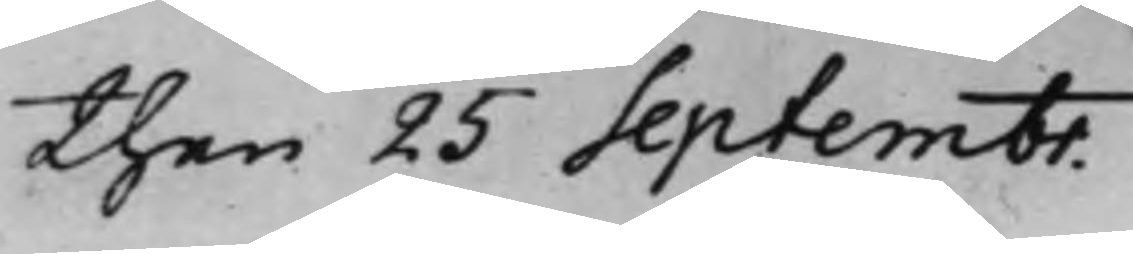then 25 Septembr.
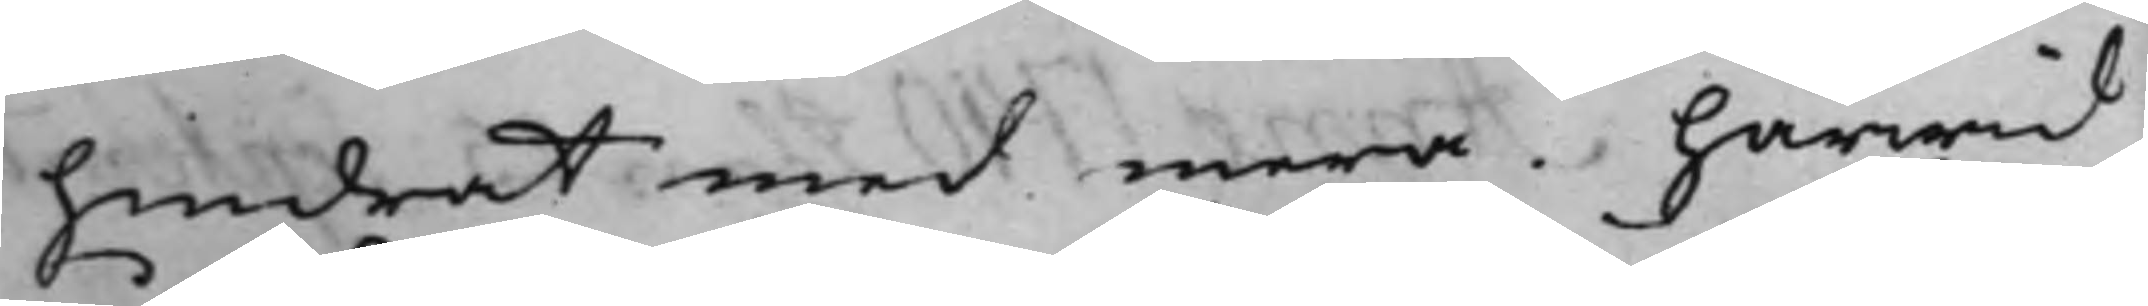hindrat med mera. härwid
